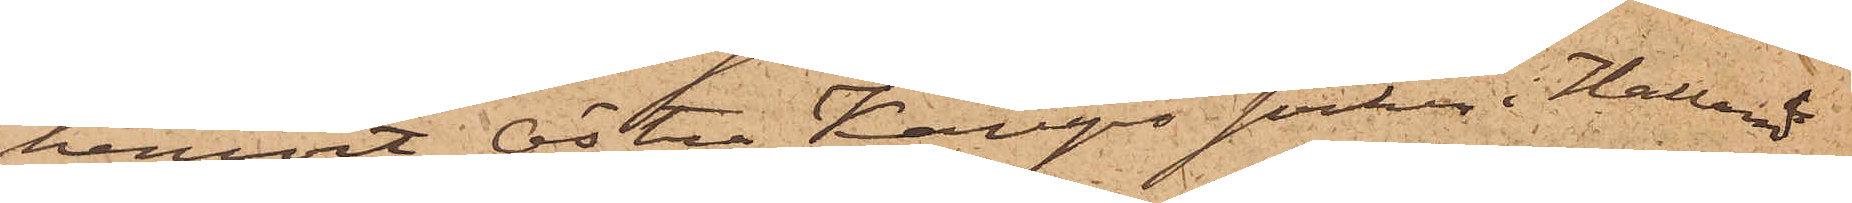hemort Östra Karups socken i Hallands
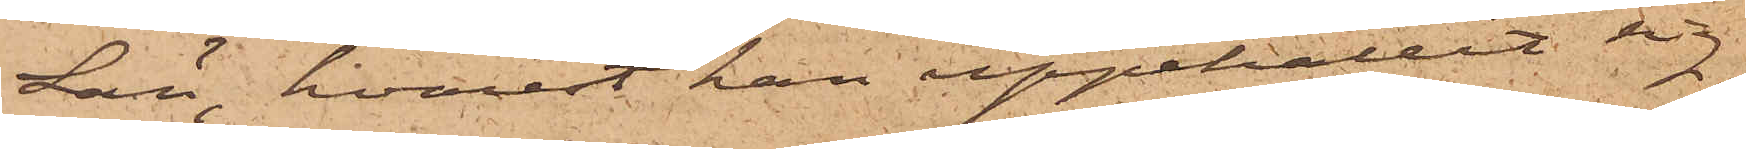Län, hvarest han uppehållit sig
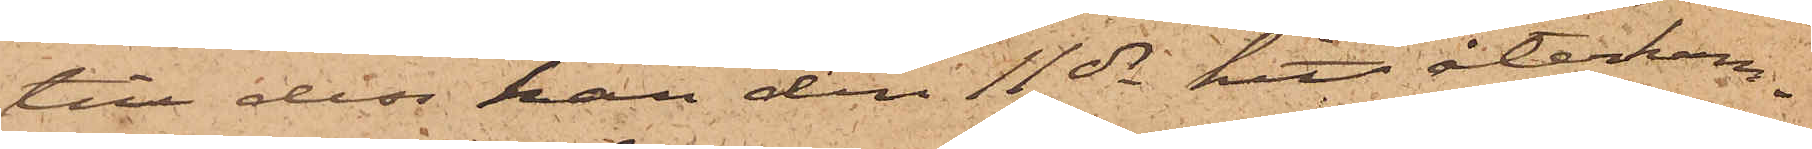till dess han den 11 ds hit återkom¬
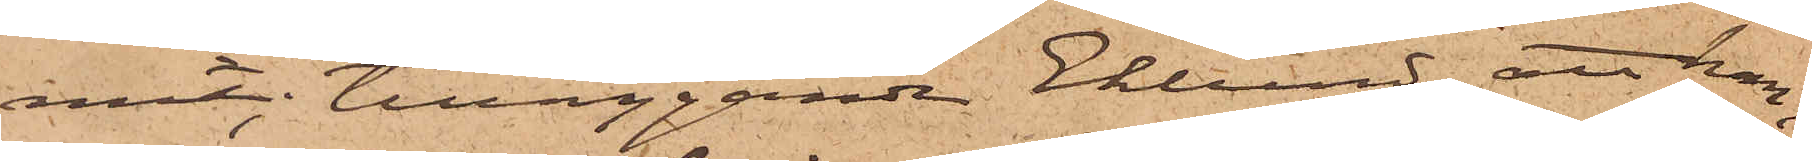mit; tilläggande Eklund, att han,
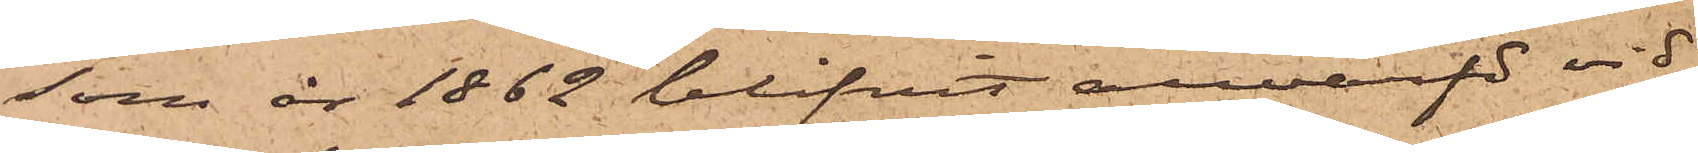som år 1862 blifvit anvärfd vid
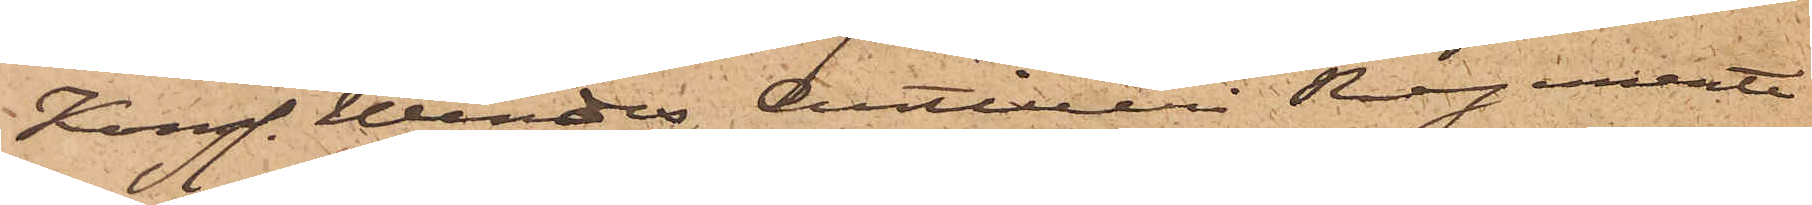Kungl. Wendes Artilleri Regemente
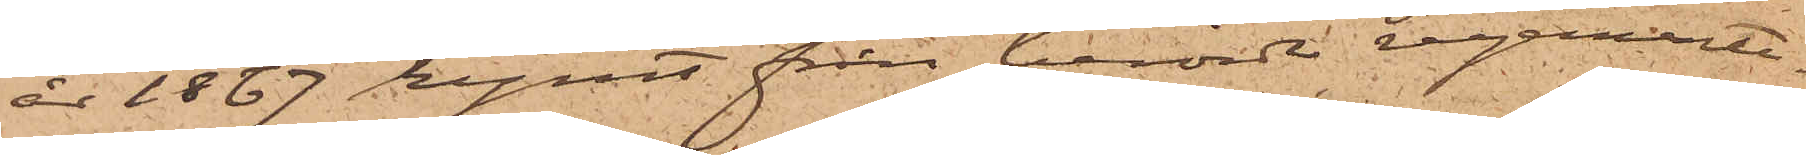år 1867 rymt från berörde regemente.
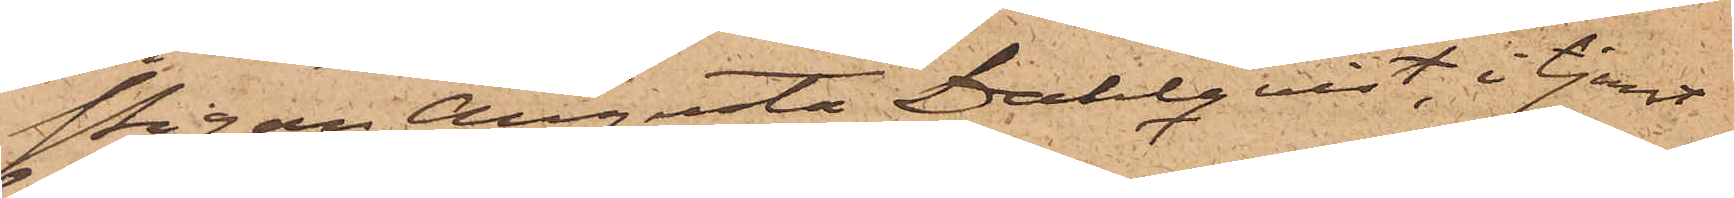Pigan Augusta Dahlqvist, i tjenst
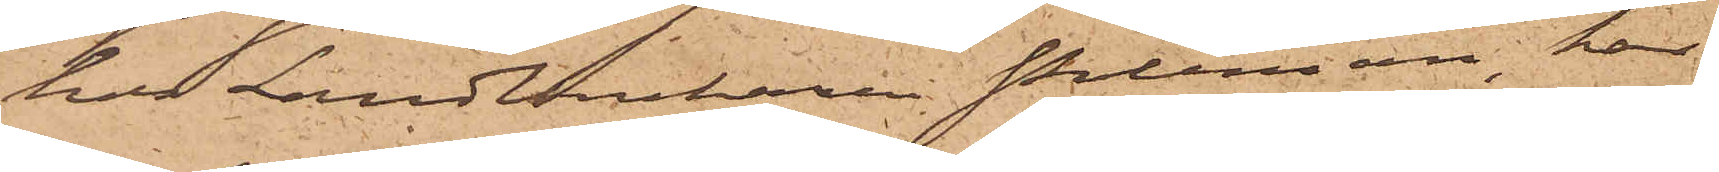hos Landbrukaren Poleman, har
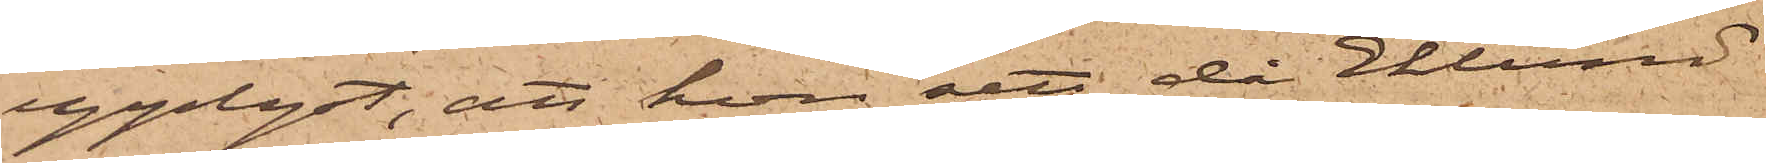upplyst, att hon sett då Eklund
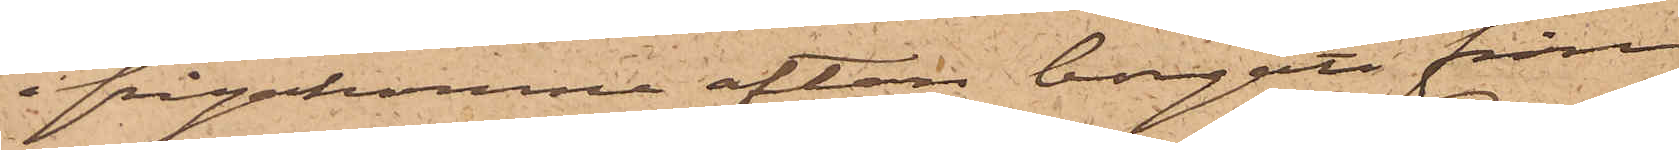ifrågakomne afton borgått från
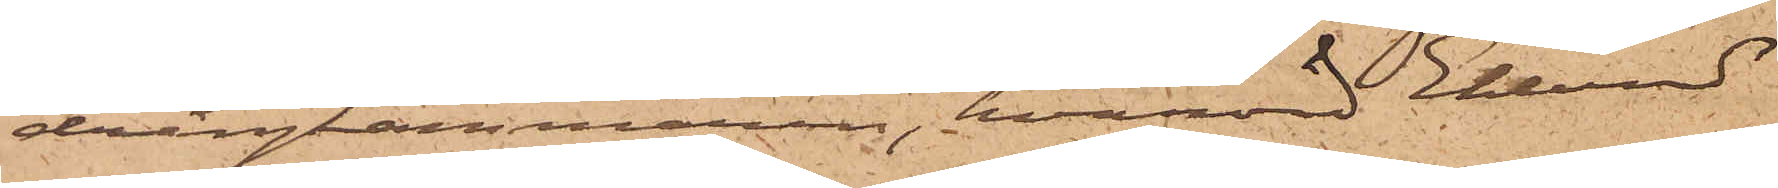drängkammaren, hvarvid Eklund
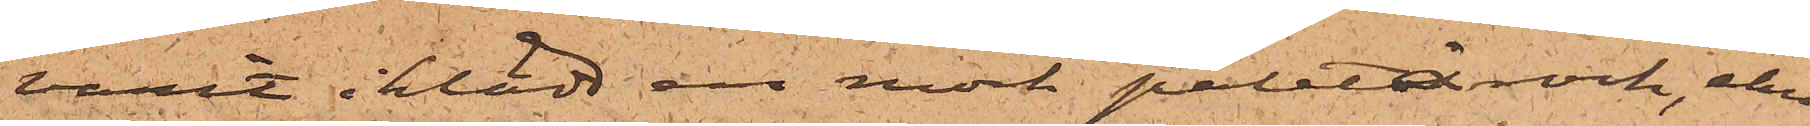varit iklädd en mörk paletårock, ehu¬
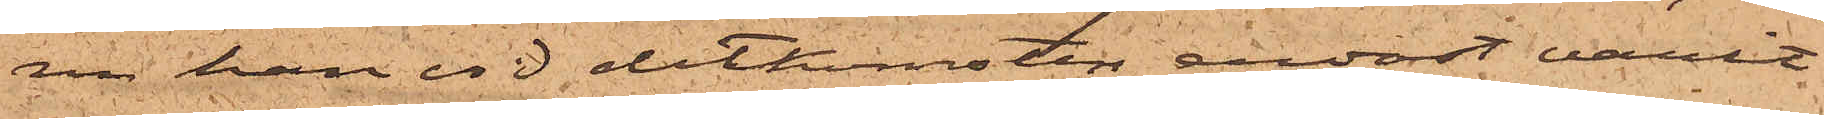ru han vid ditkomsten endast varit
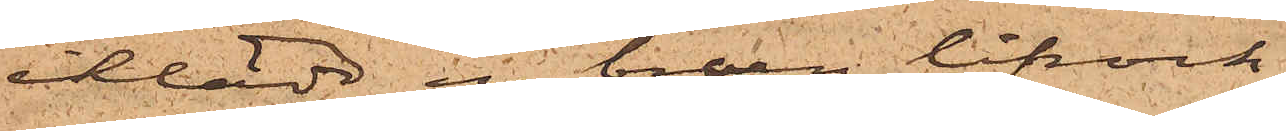iklädd en brun lifrock.
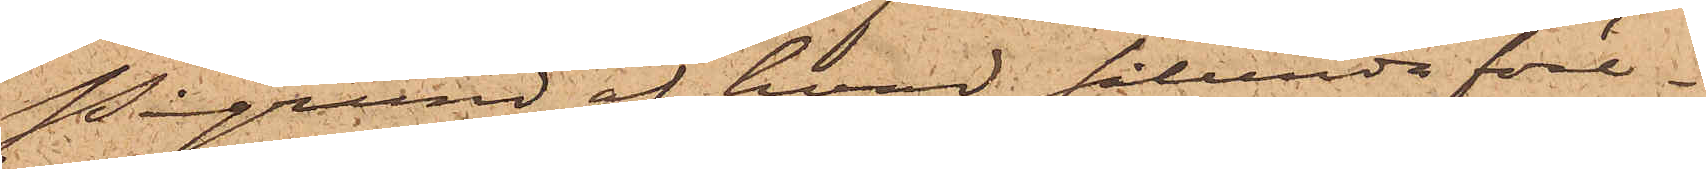På grund af hvad sålunda före¬
